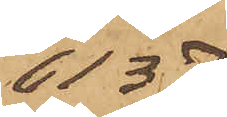6137
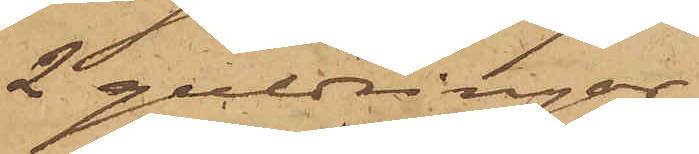2 guldringar
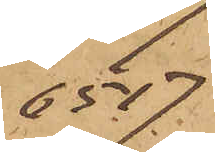6517
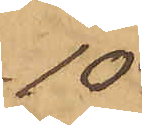10
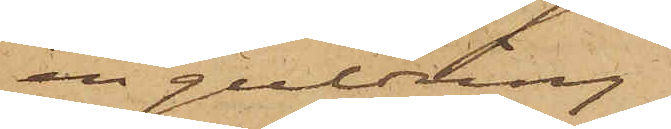en guldring
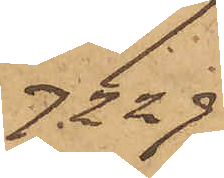7229
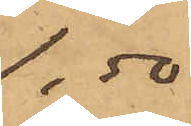1,50
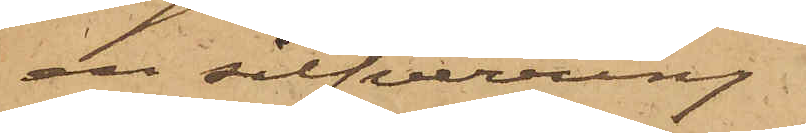en silfverring
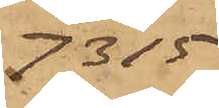7315
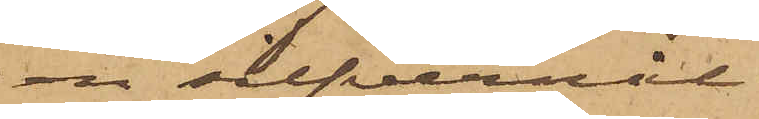en silfvernål
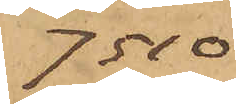7510
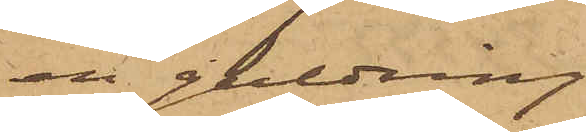en guldring
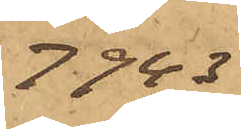7943
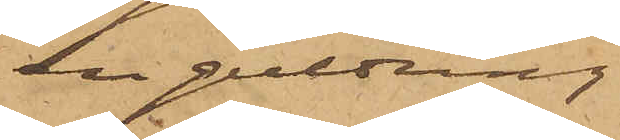en guldring
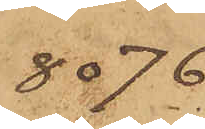8076
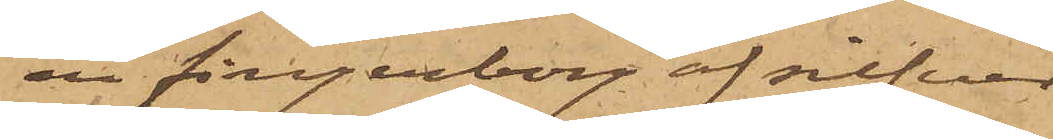en fingerborg af silfver
